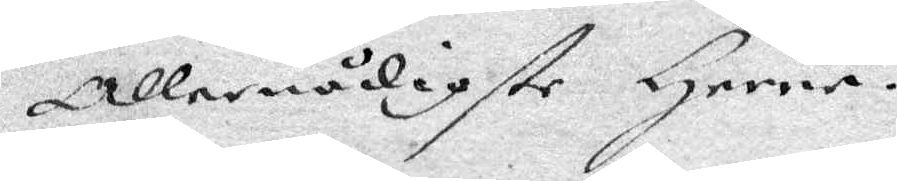Allernådigste Herre.
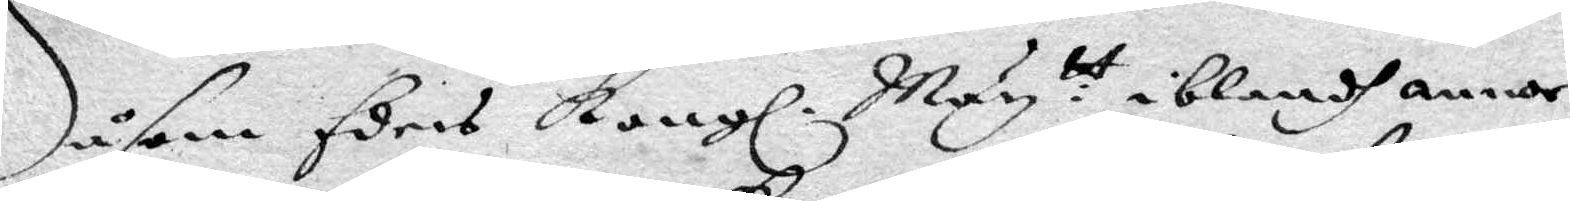Såsom Eders Kongl. Maytt: iblandh annor
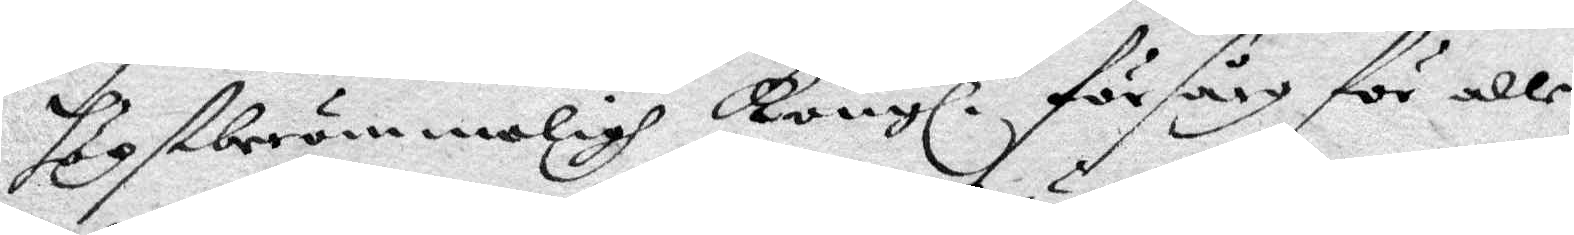högstberömmeligh Kongl. försårg för alle
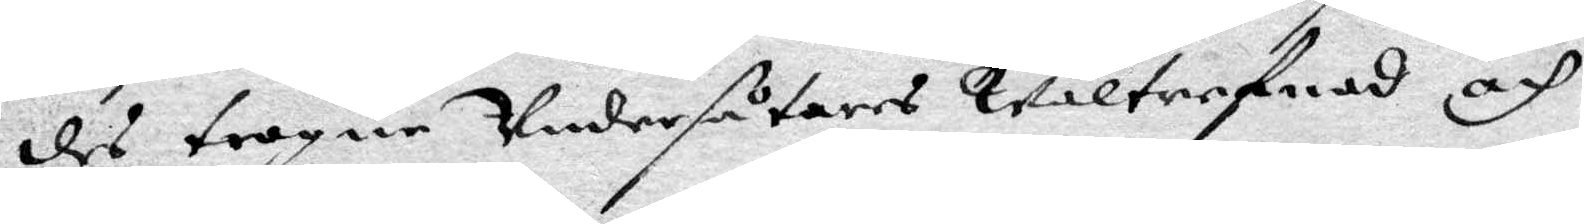des trogne Undersåtares Wältrefnad och
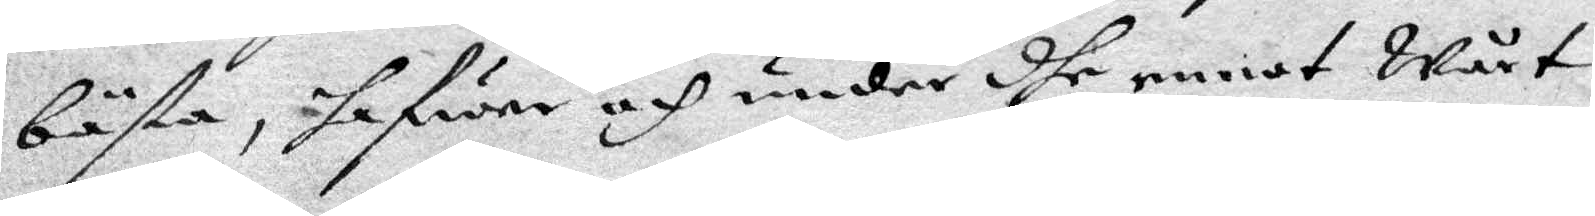bästa, hafwer och under dhe emot Wårt
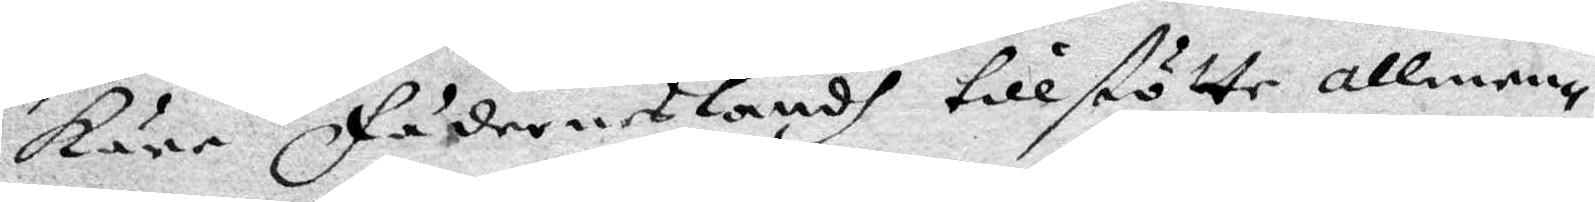Käre Fäderneslandh tillstötte allmen¬
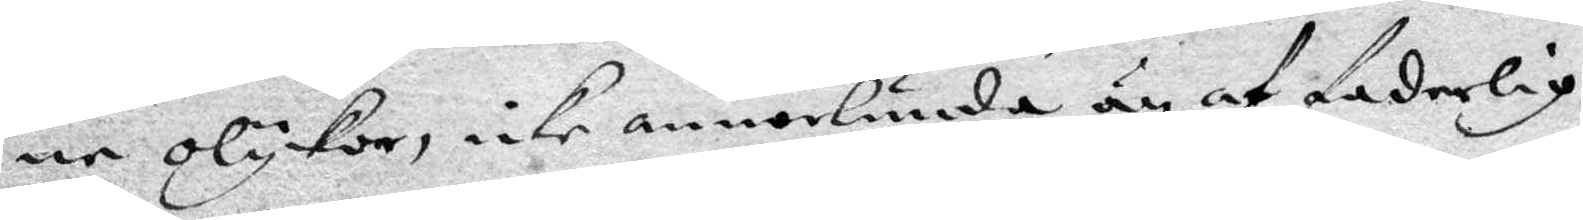ne olyckor, icke annorlunda än af faderlig
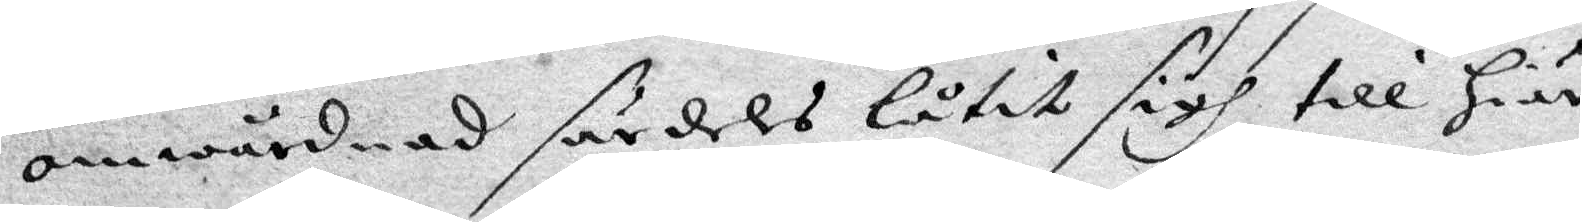omwårdnad särdeles låtit sigh till Hiär¬
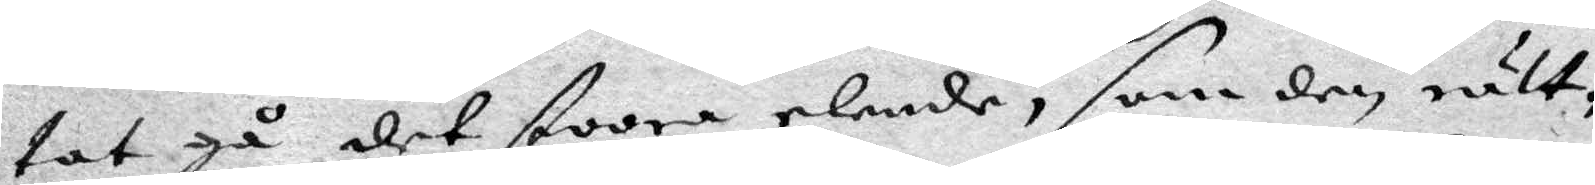tat gå det stoore elende, som den, rätt¬
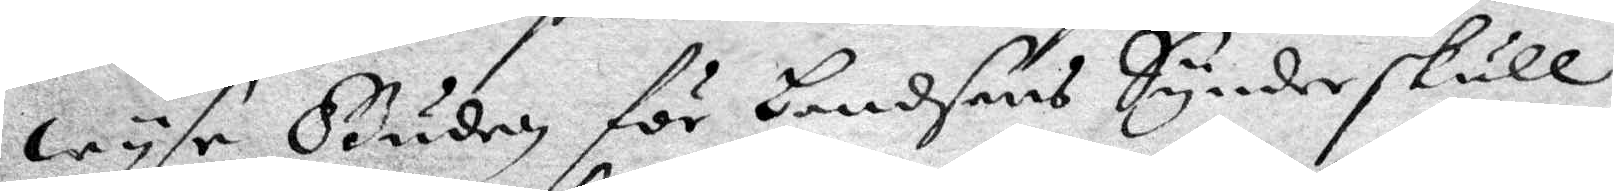wyse Guden för Landsens Synder skull
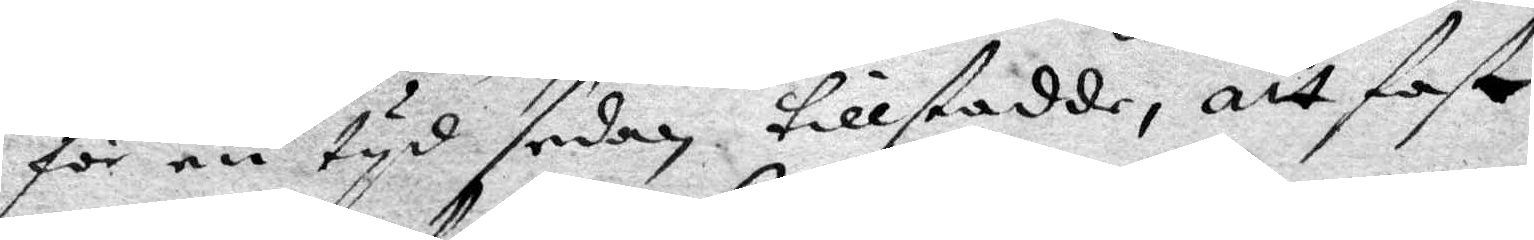för en tyd sedan tillstadde, att fast
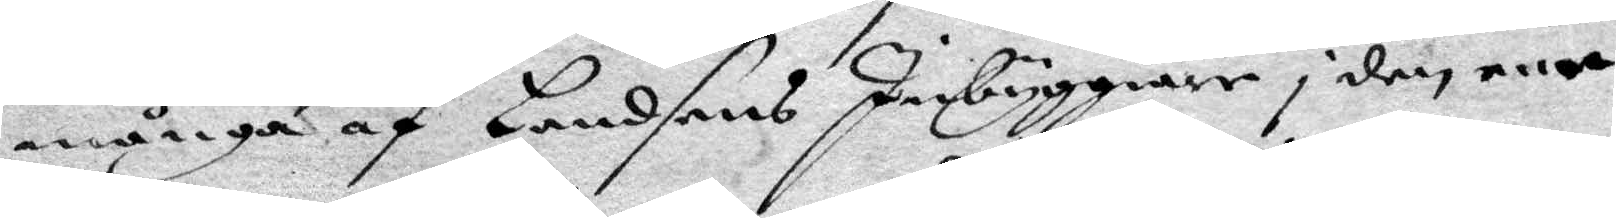många af Landsens Inbyggiare i den ene
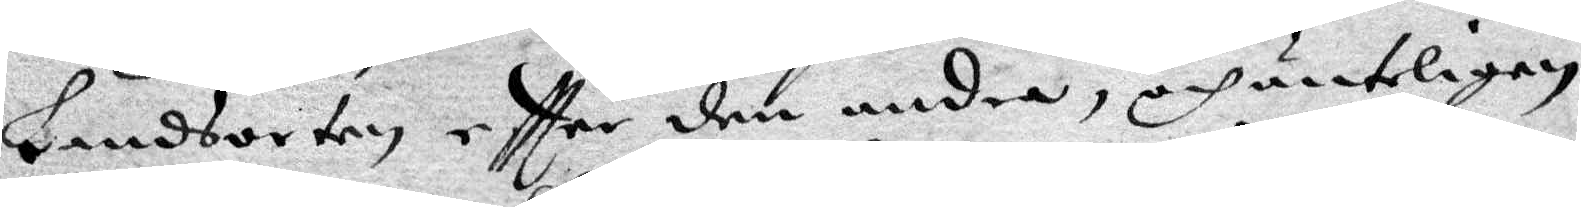Landsorten eftter den andra, och änteligen
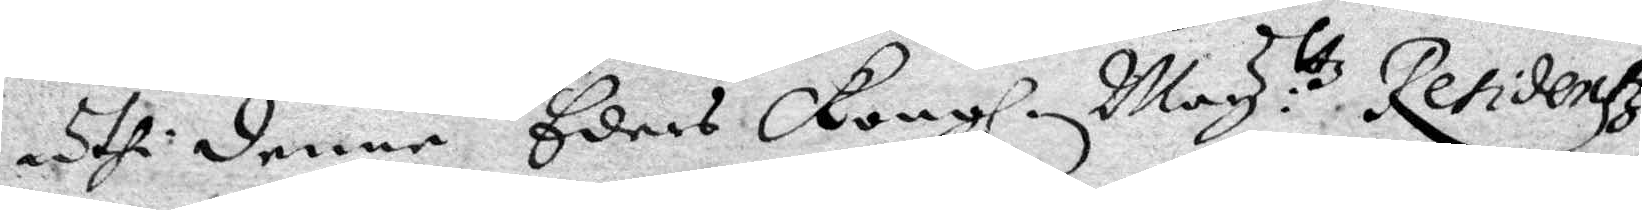uthi denne Eders Kongl. May:ttz Residentz
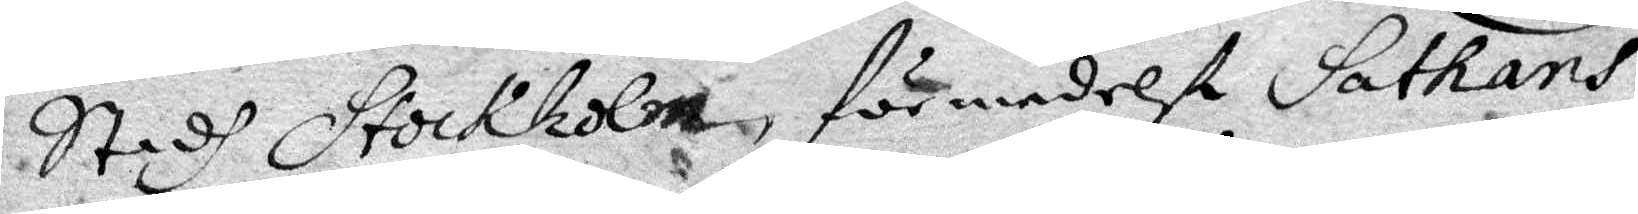Stadh Stockholm, förmedelst Sathans
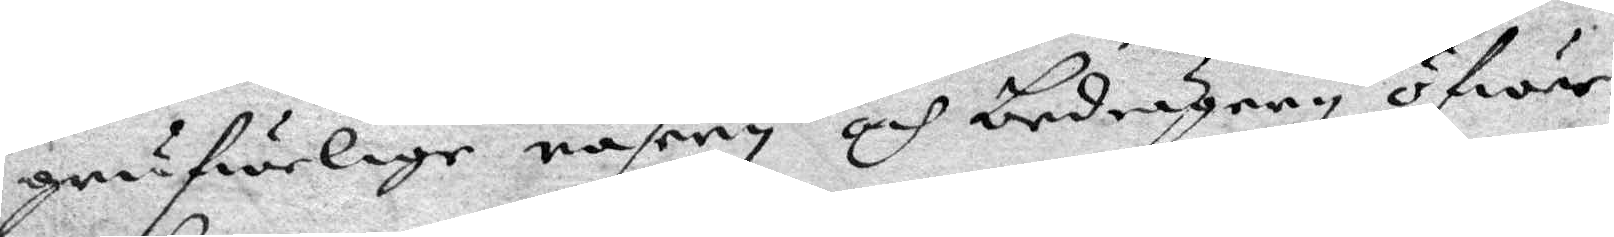grufwelige rasery och bedrägery öfwer¬
